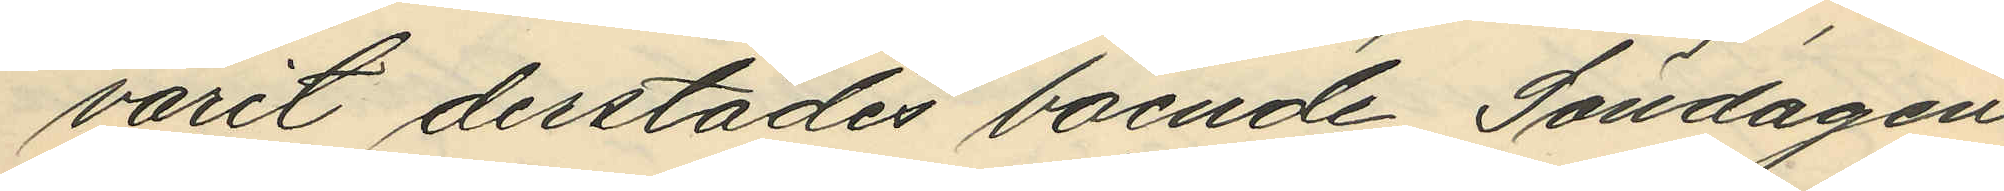varit derstädes boende, Söndagen
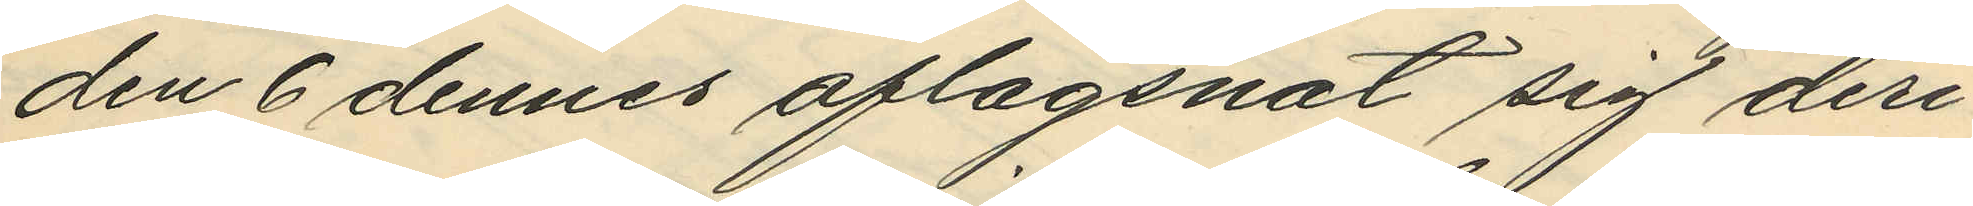den 6 dennes aflägsnat sig deri¬
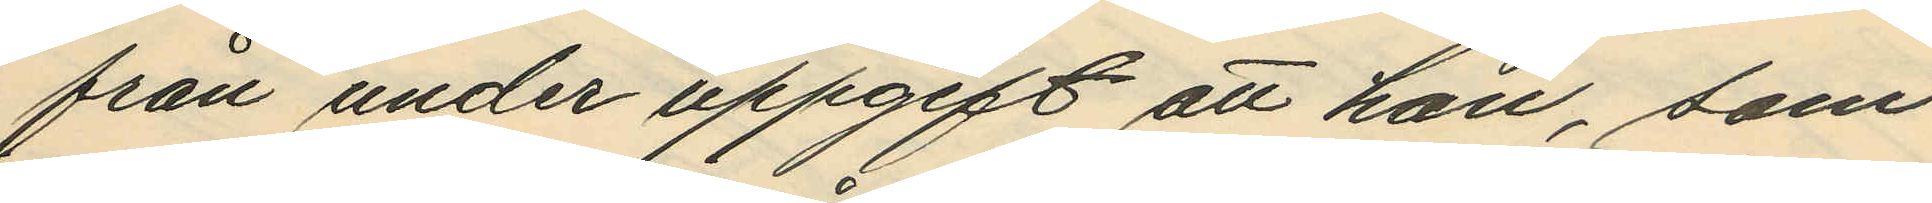från under uppgift att han, som
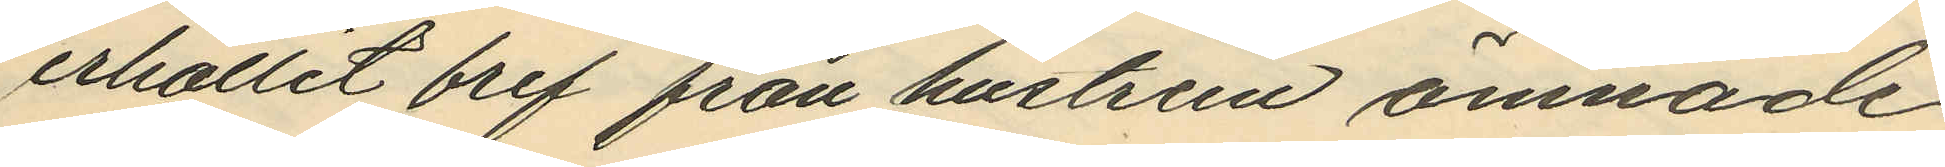erhållit bref från hustrun ämnade
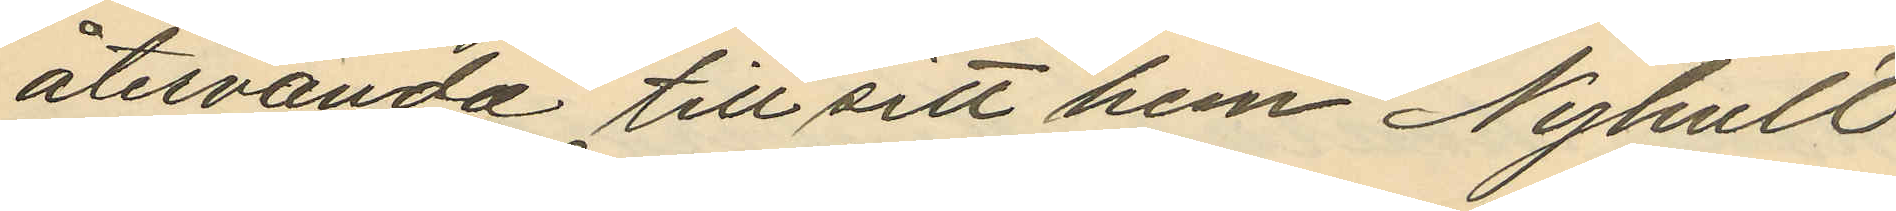återvända till sitt hem Nyhult
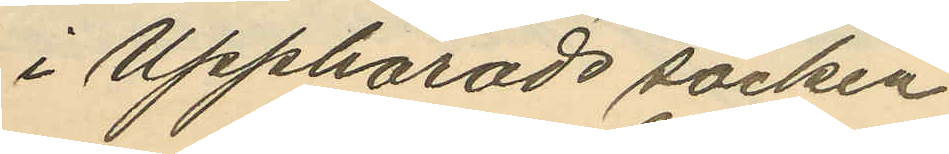i Upphärads socken
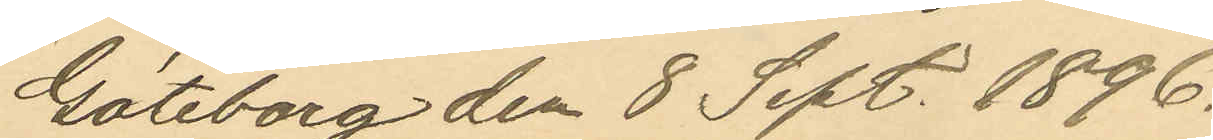Göteborg den 8 Sept. 1896.
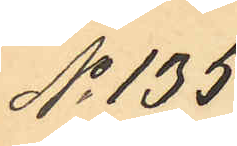No 135.
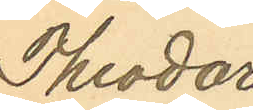Theodor
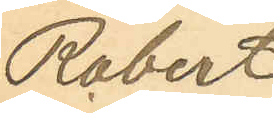Robert
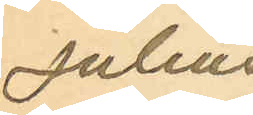Julius
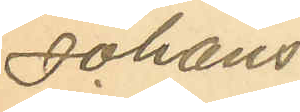Johans¬
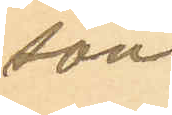son
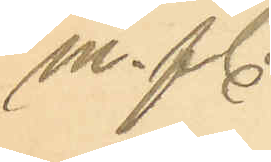m. fl.
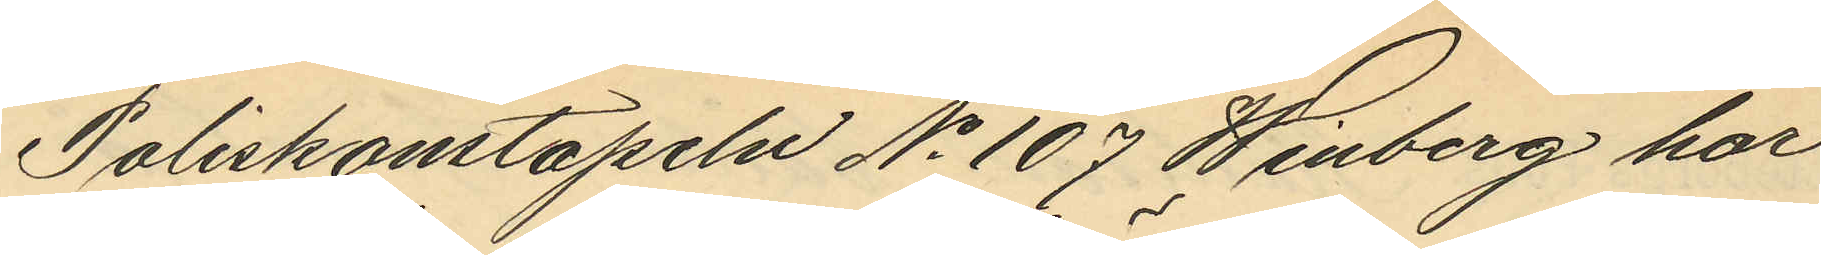Poliskonstapeln No 107 Winberg har
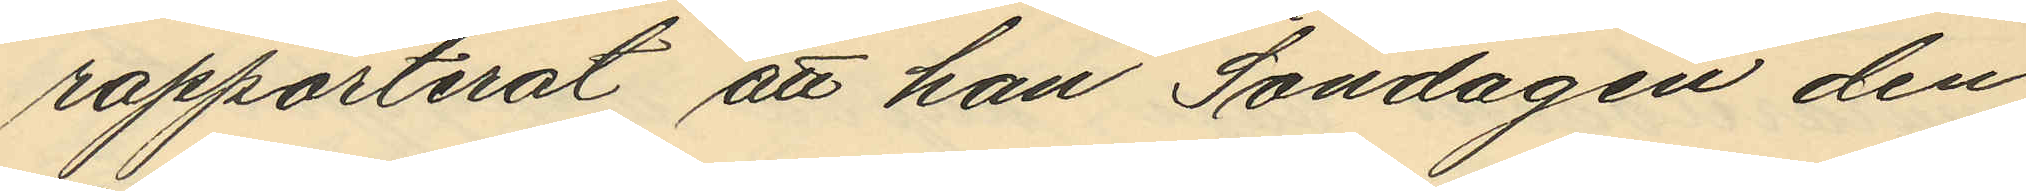rapporterat att han Söndagen den
